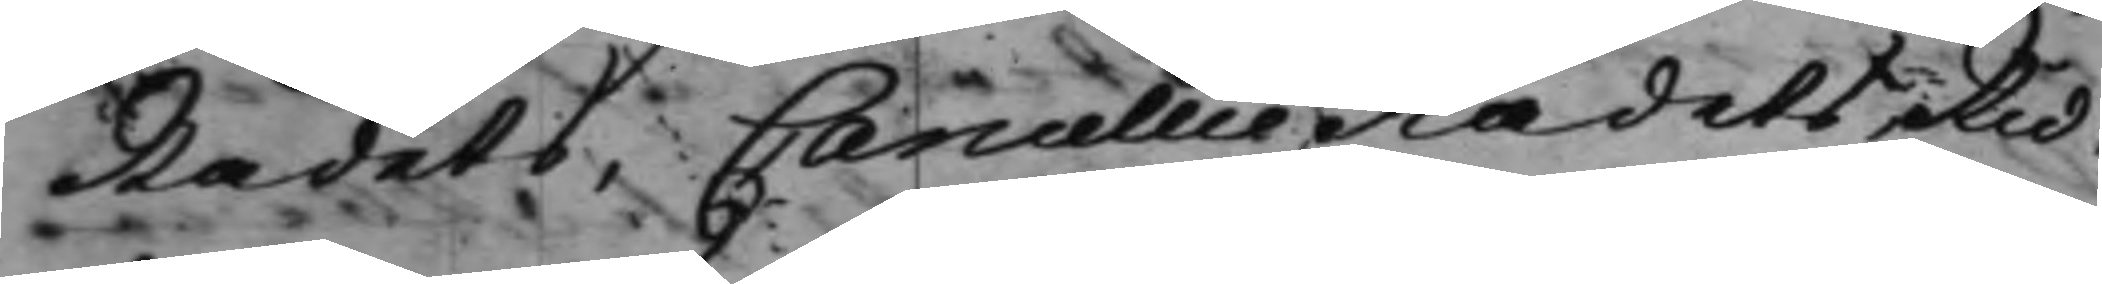Rådets, CancellieRådets Rid¬
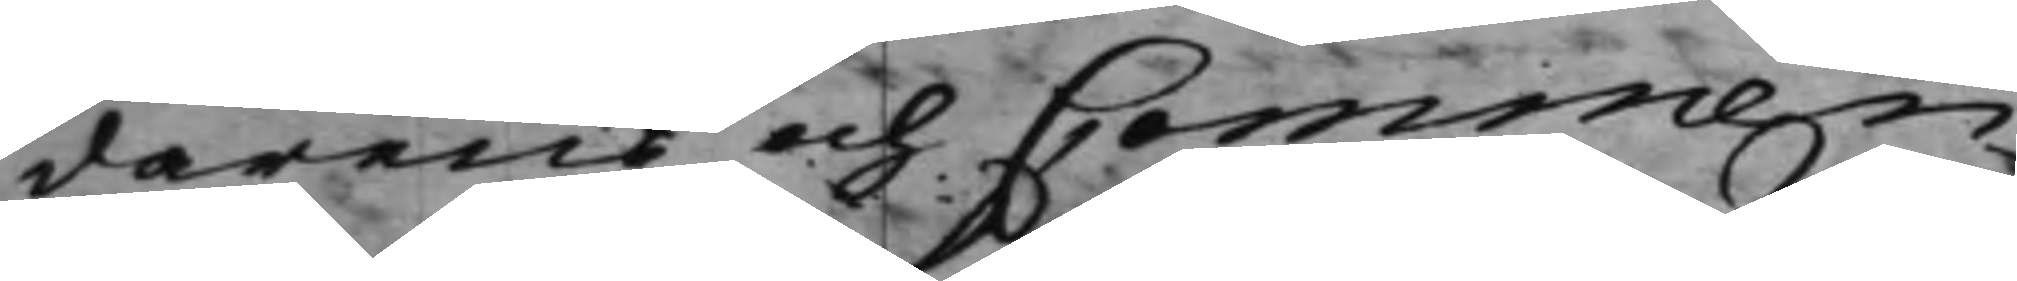darens och Commen¬
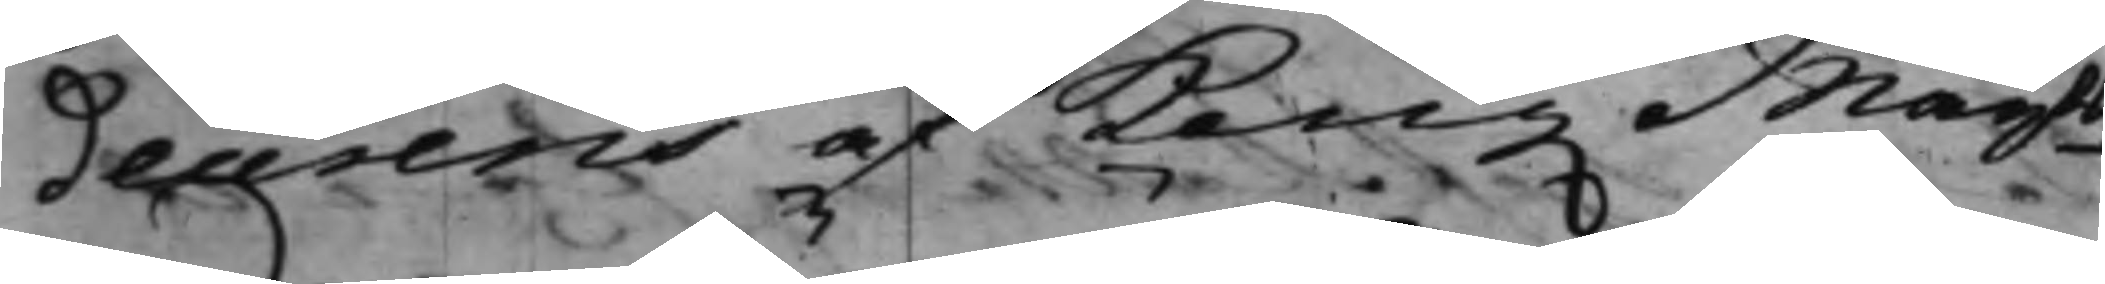deurens af Kong. Maijts
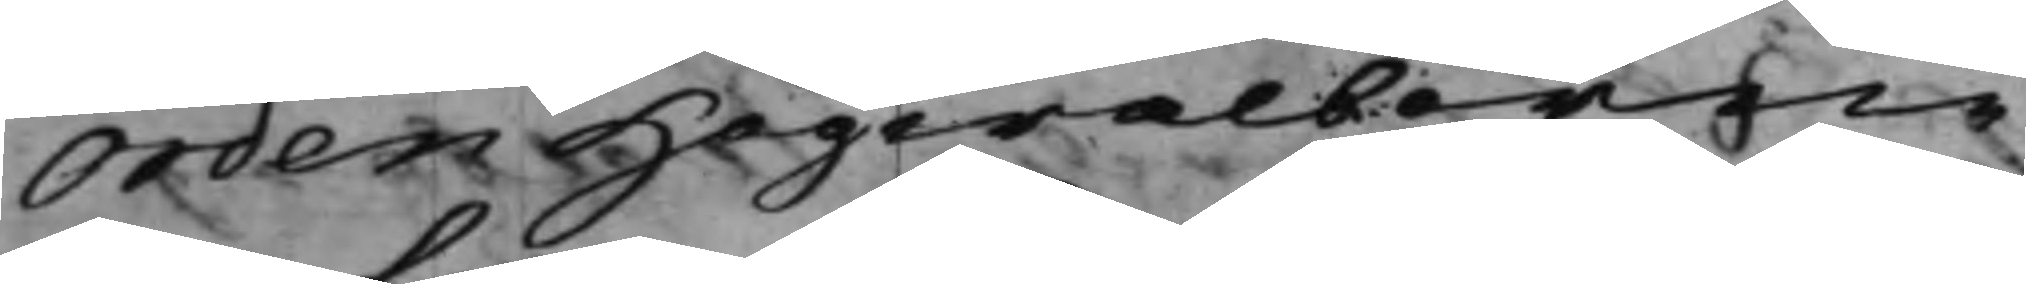Orden Högwälborne
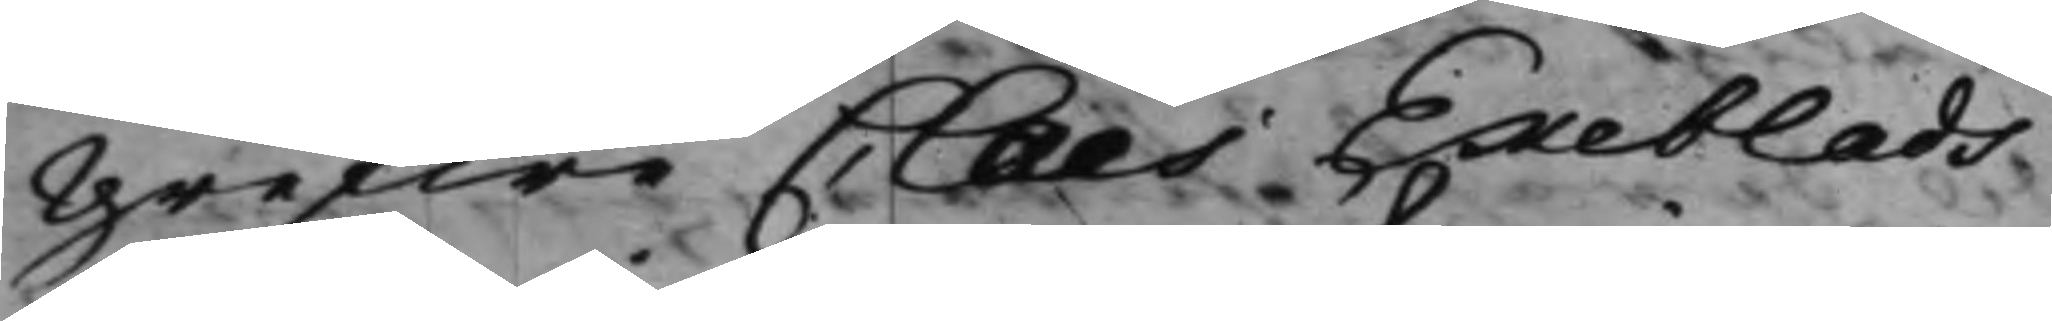Grefwe Claes Ekeblads
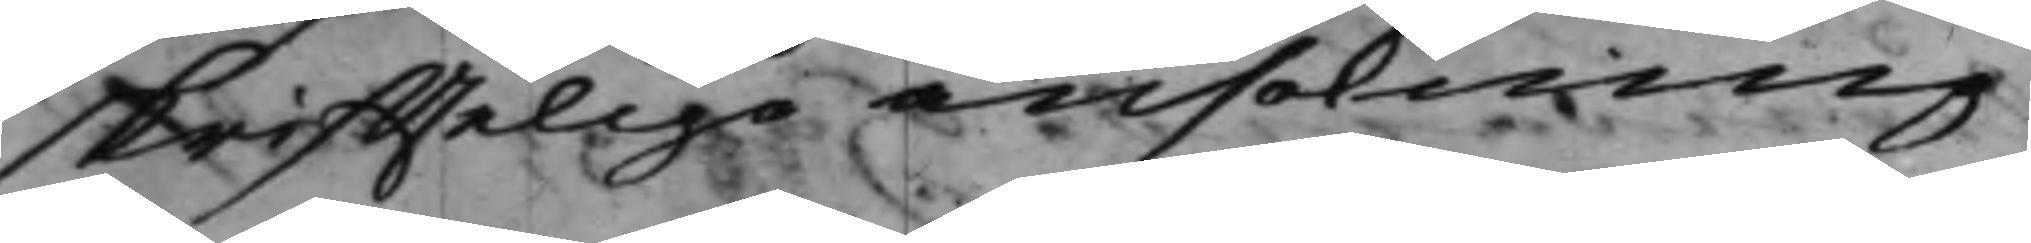skrifftelige ansökning
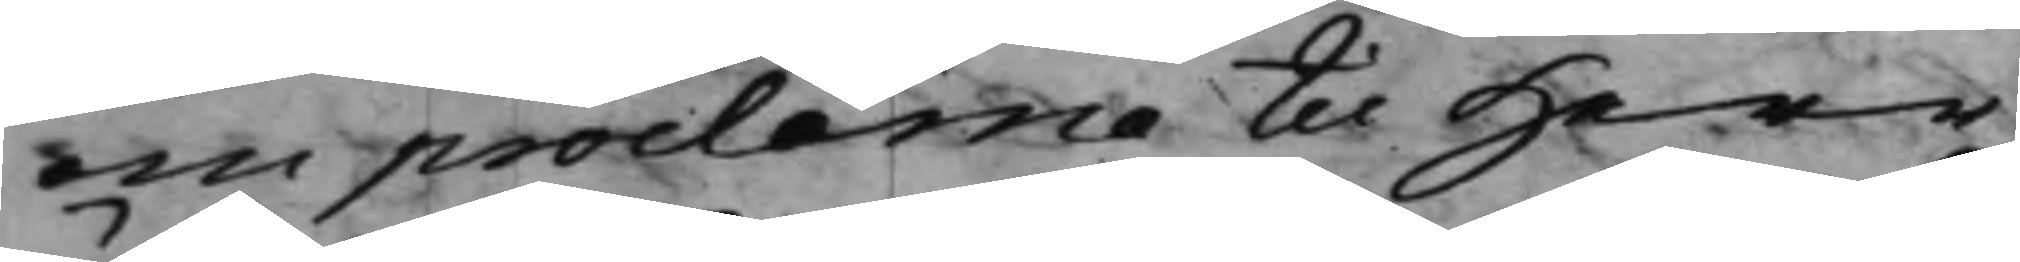om proclama til Herr
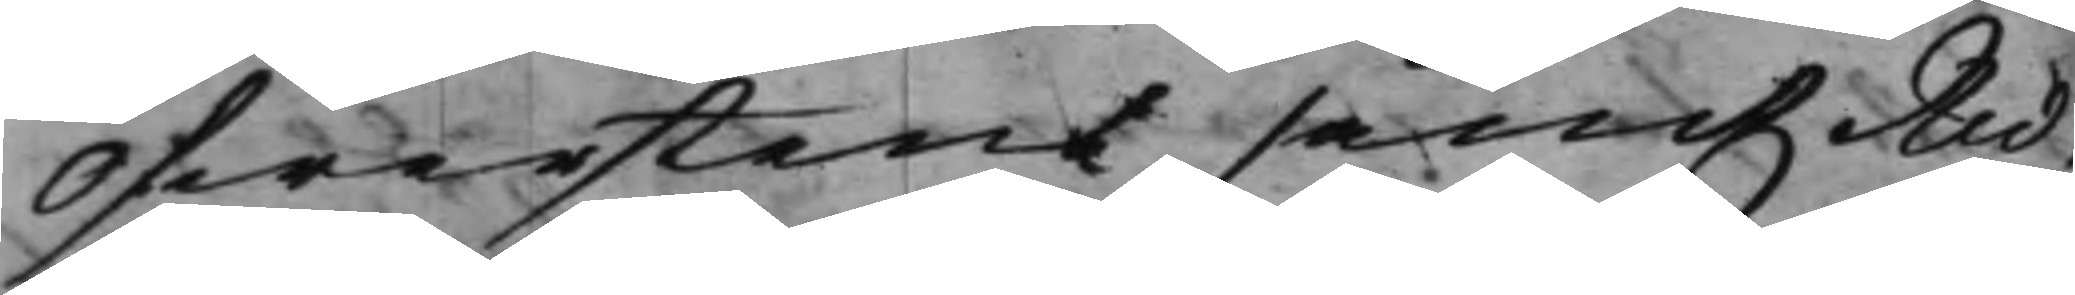Öfwerstens samt Rid¬
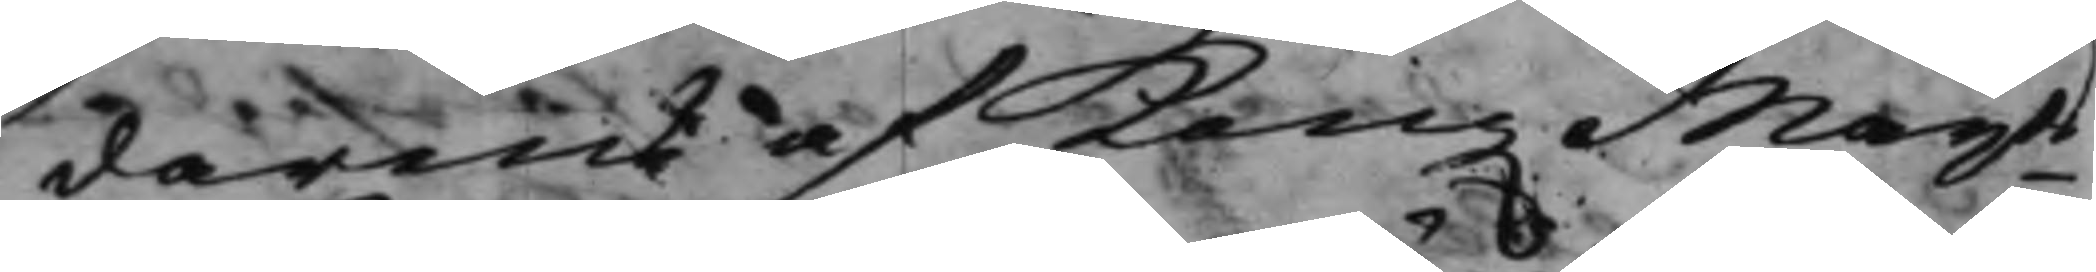darens af Kong. Maijts
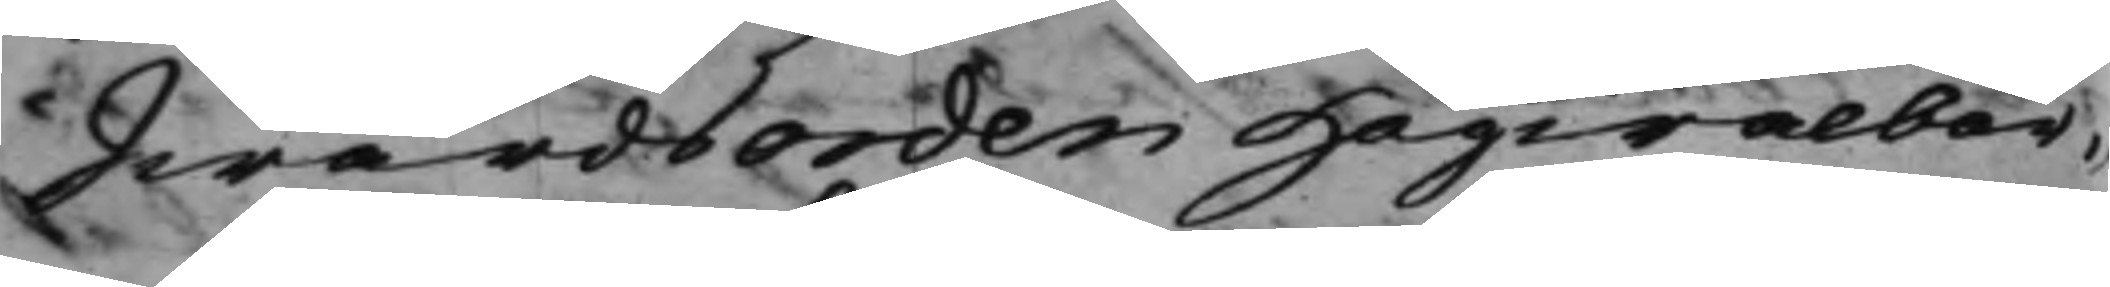Swärdsorden Högwälbor¬
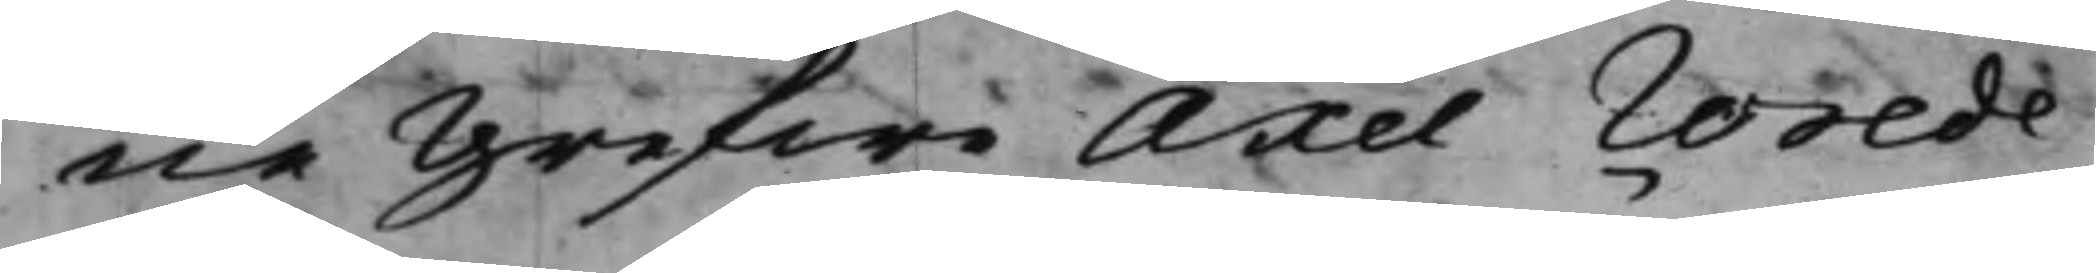ne Grefwe Axel Wrede
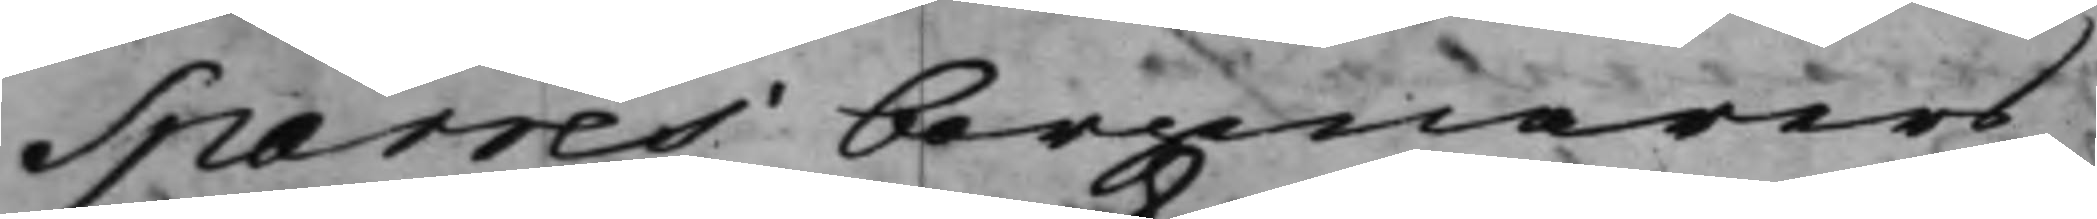Sparres borgenärers
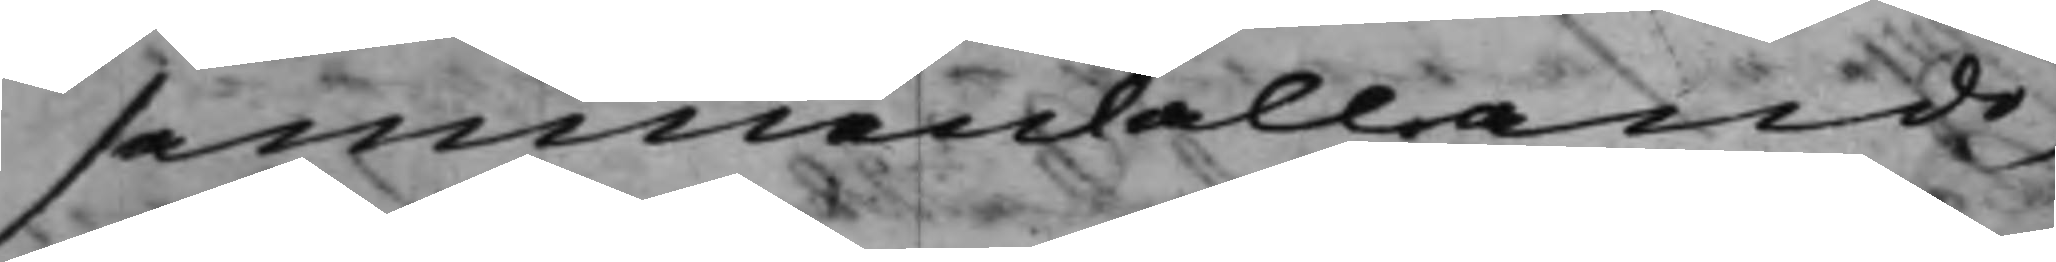sammankallande
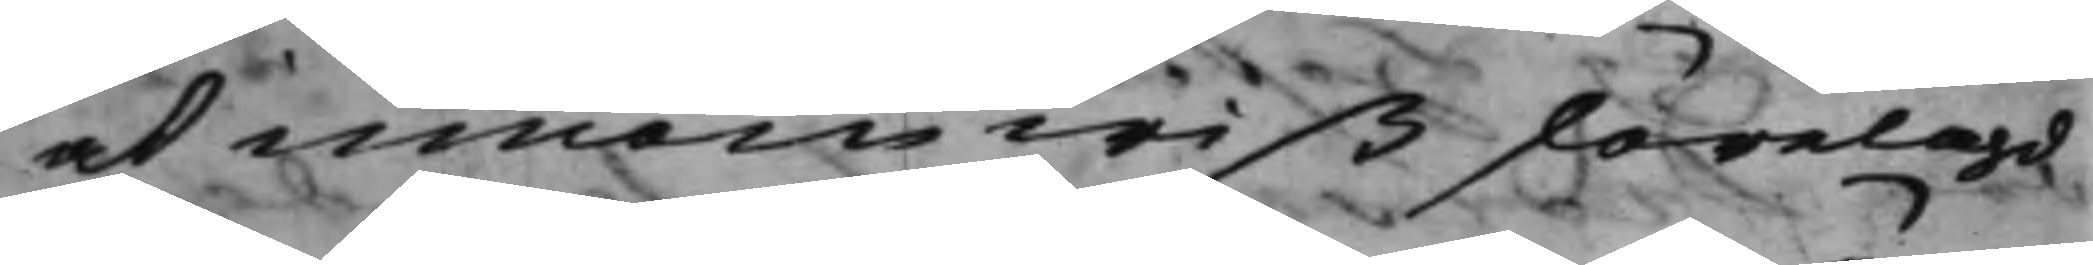at innom wiß förelagd
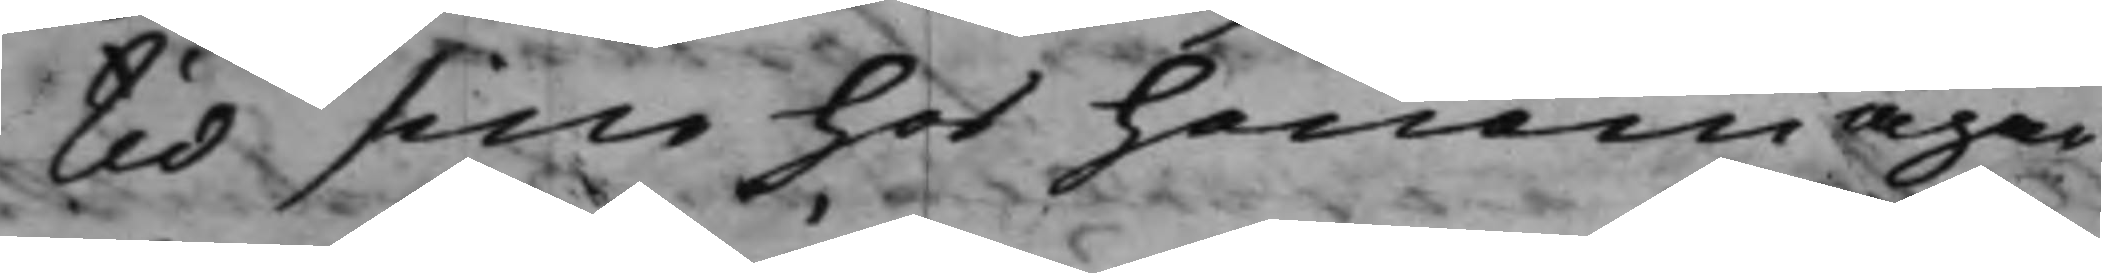tid sine hos honom ägan¬
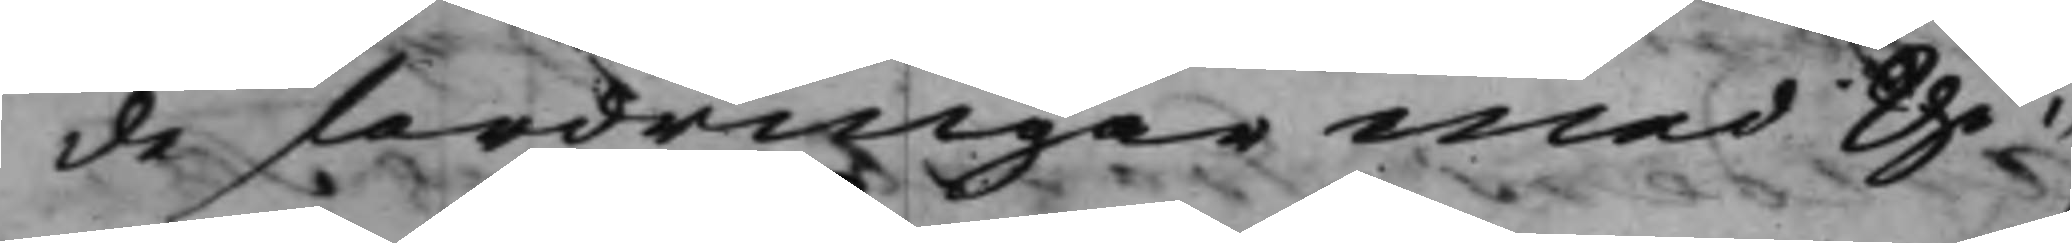de fordringar med the¬
